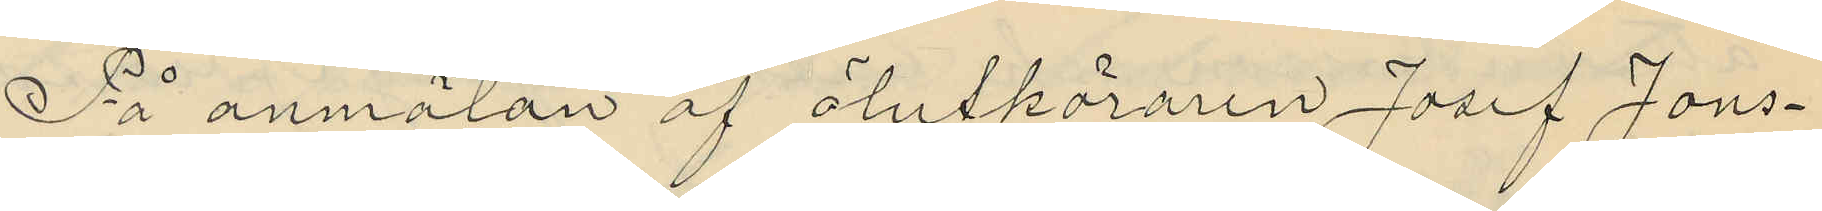På anmälan af ölutköraren Josef Jons¬
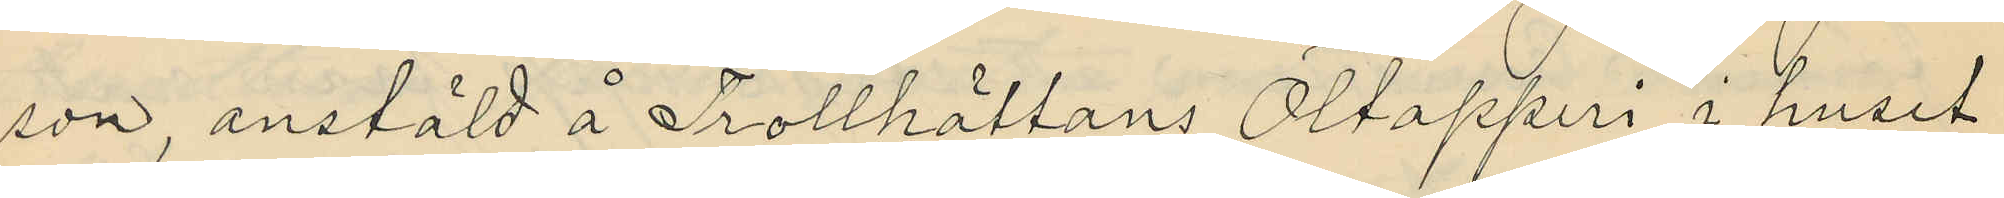son, anstäld å Trollhättans Öltapperi i huset
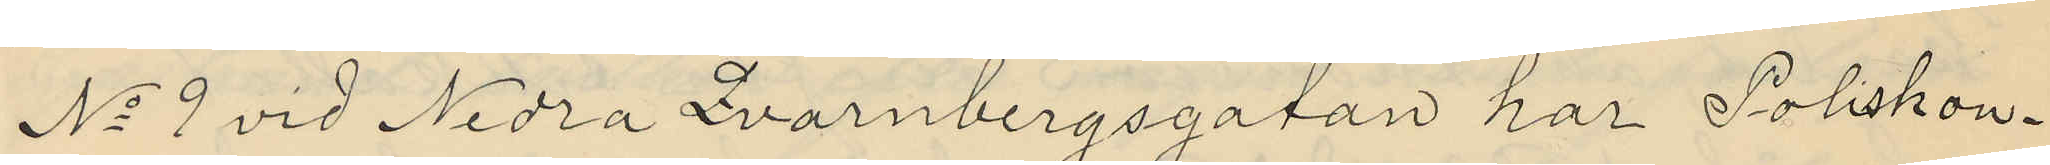No 9 vid Nedra Qvarnbergsgatan har Poliskon¬
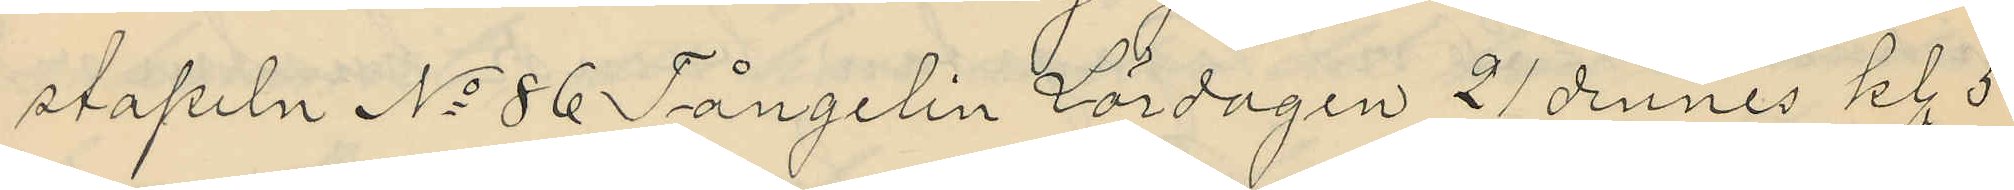stapeln No 86 Fångelin Lördagen 21 dennes kl. 5
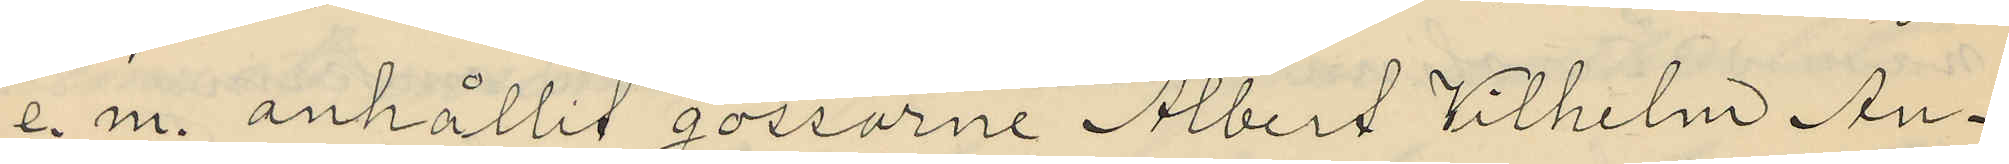e.m. anhållit gossarne Albert Vilhelm An¬
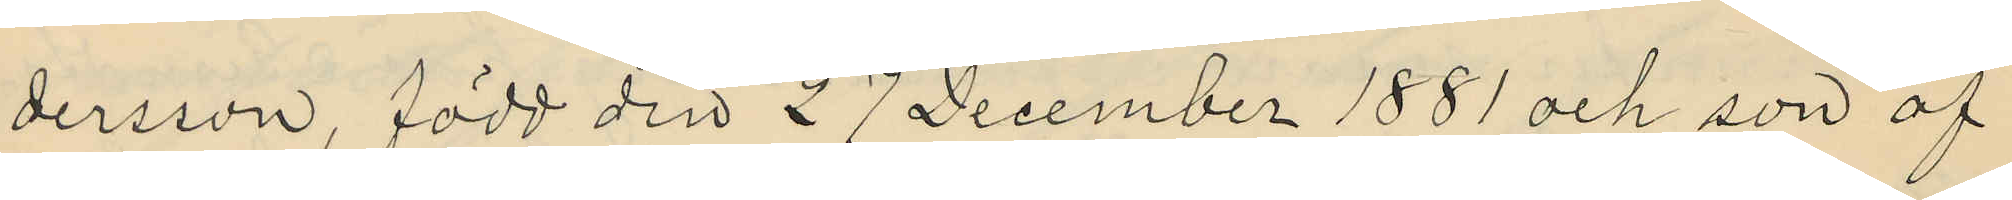dersson, född den 27 December 1881 och son af
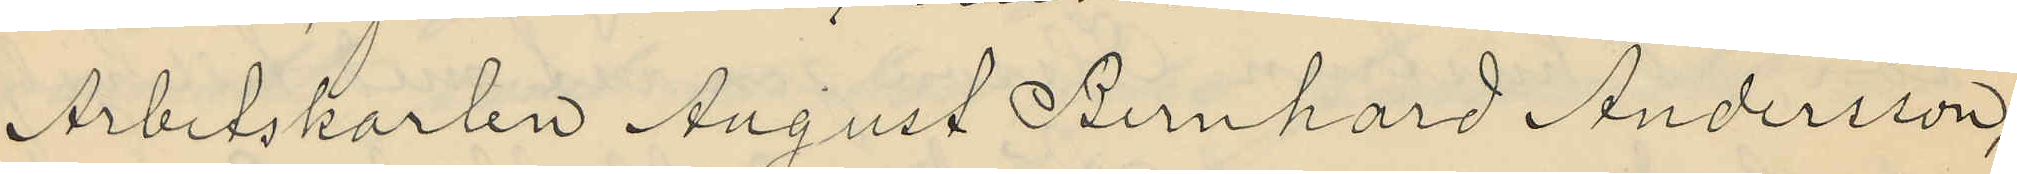Arbetskarlen August Bernhard Andersson,
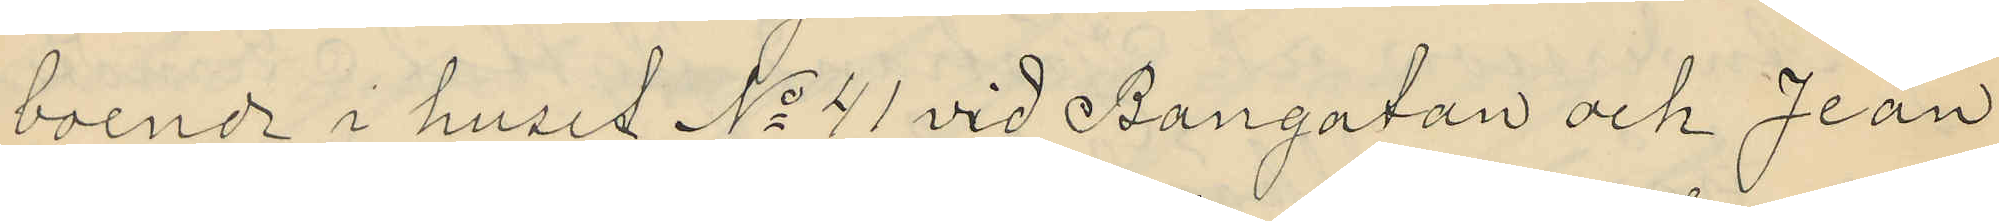boende i huset No 41 vid Bangatan och Jean
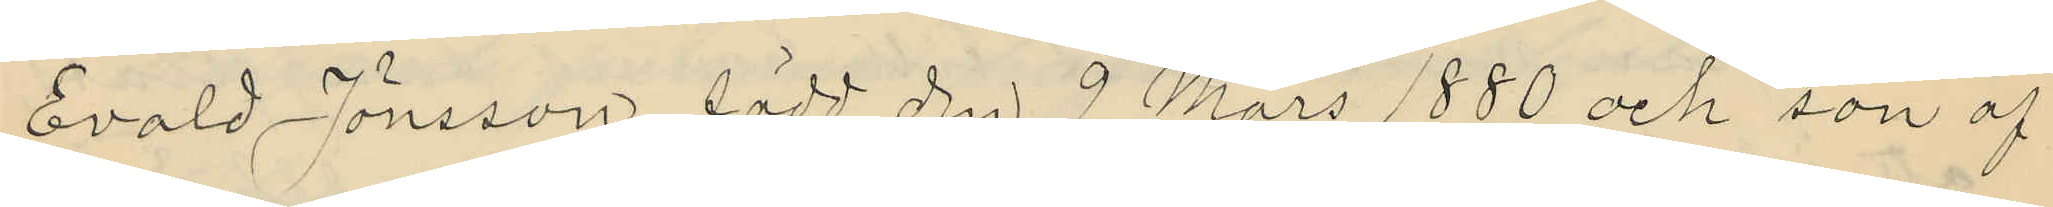Evald Jönsson, född den 9 Mars 1880 och son af
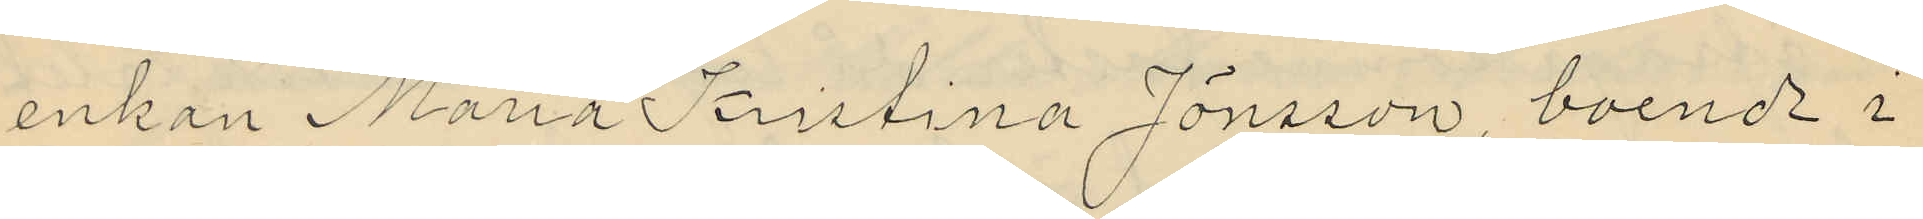enkan Maria Kristina Jönsson, boende i
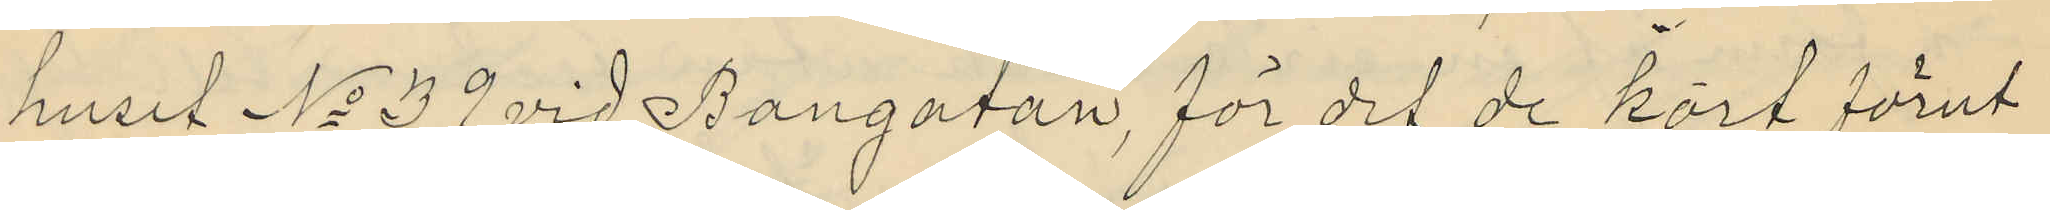huset No 39 vid Bangatan, för det de kort förut
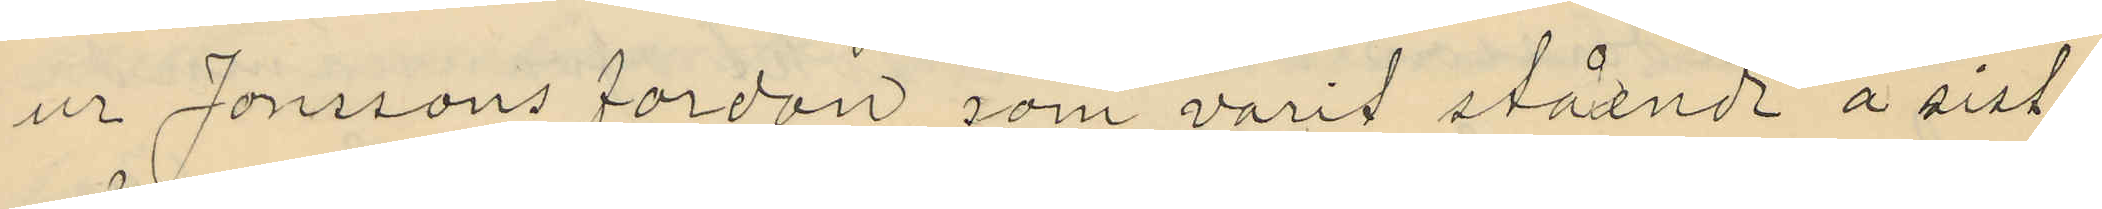ur Jonssons fordon, som varit stående å sist¬
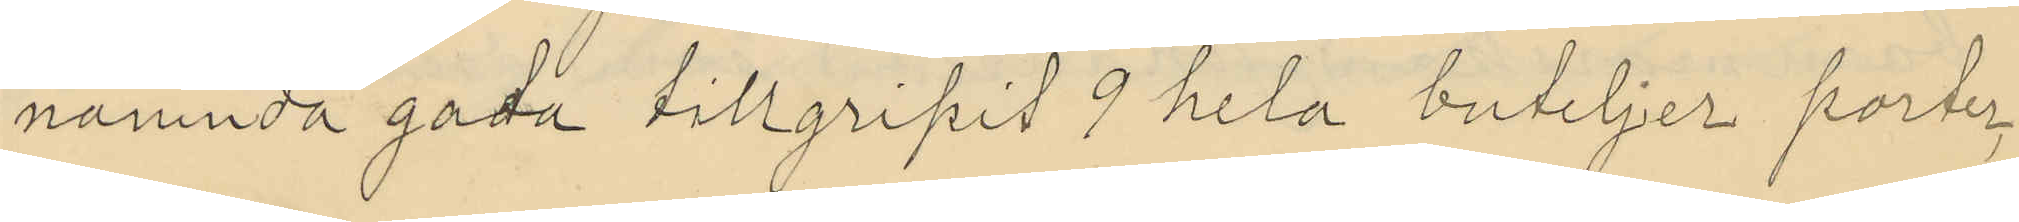nämnda gata tillgripit 9 hela buteljer porter,
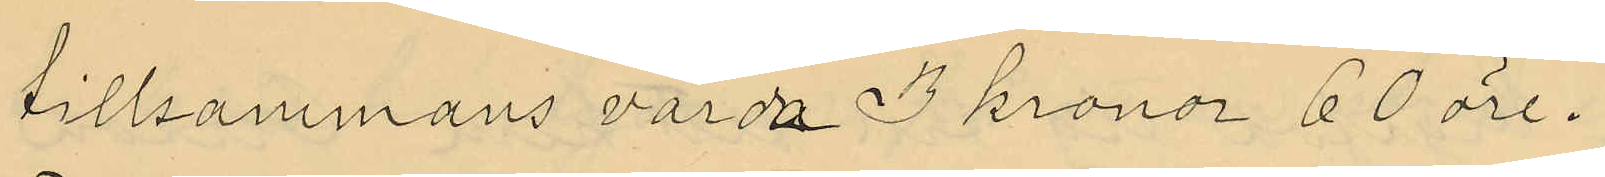tillsammans värda 3 kronor 60 öre.
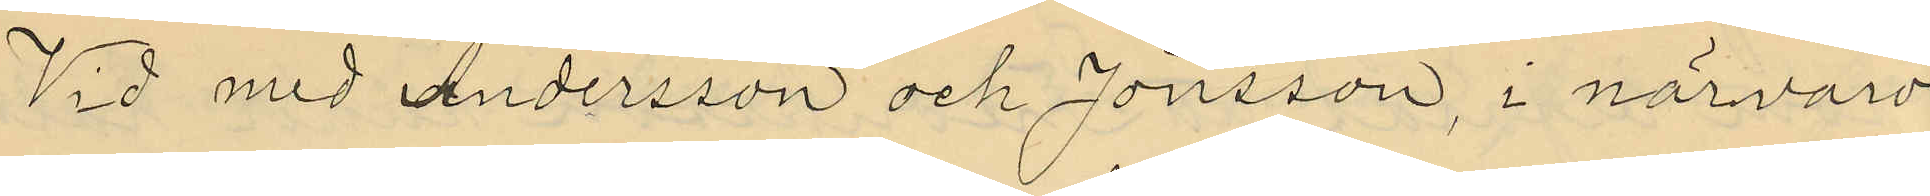Vid med Andersson och Jönsson, i närvaro
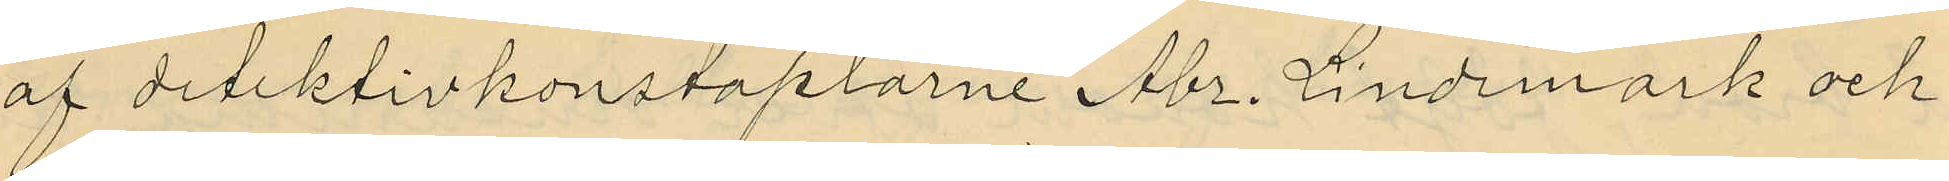af detektivkonstaplarne Abr. Lindmark och
